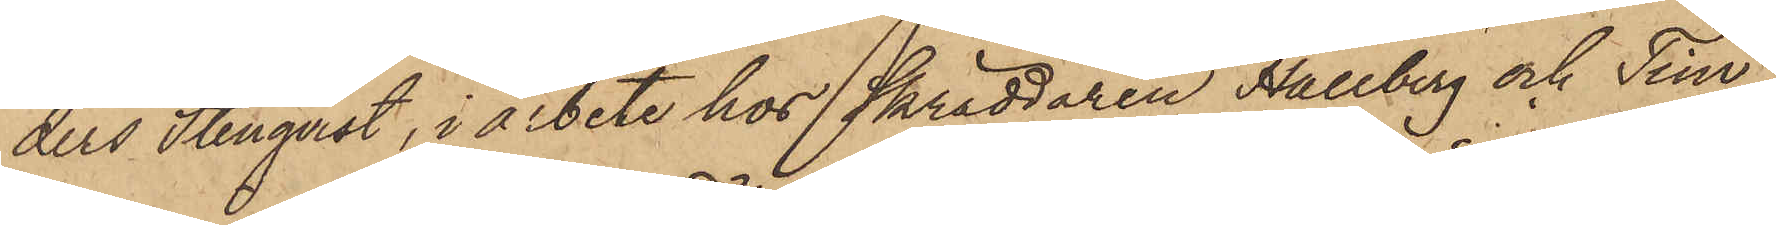ders Stenqvist, i arbete hos Skräddaren Hallberg och Tim¬
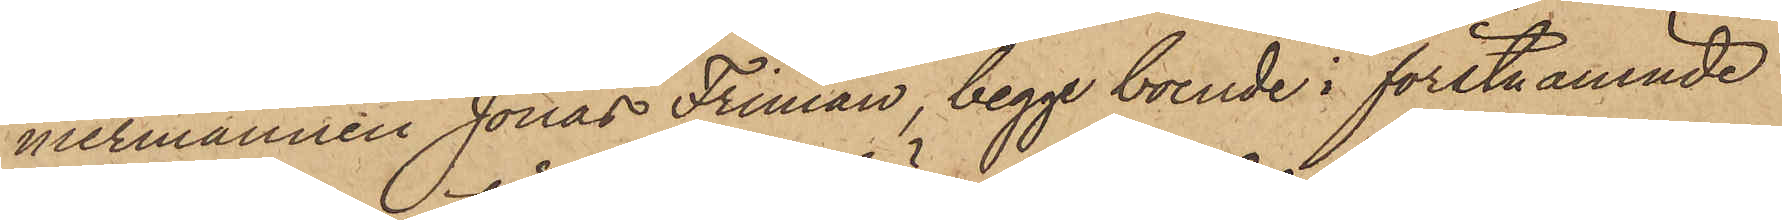mermannen Jonas Friman, begge boende i förstnämnde
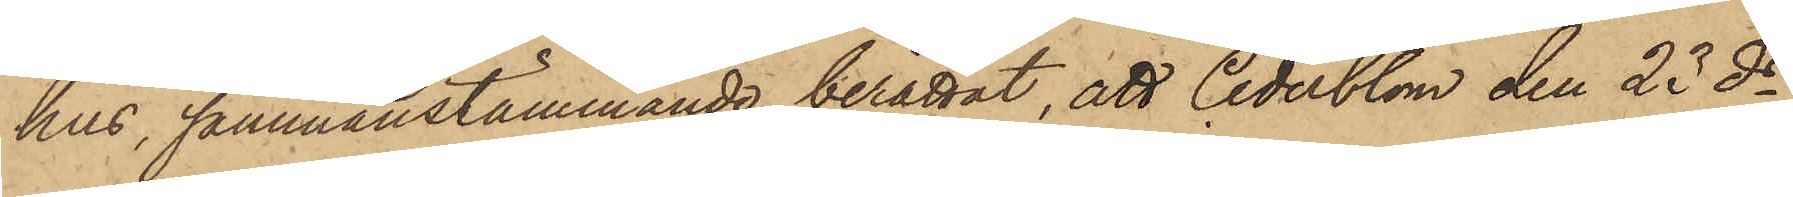hus, sammanstämmande berättat, att Cederblom den 23 ds
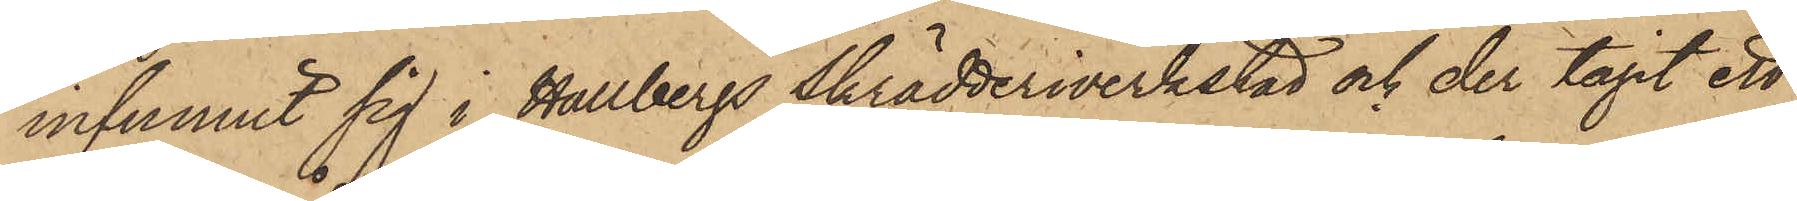infunnit sig i Hallbergs Skrädderiverkstad och der tagit ett
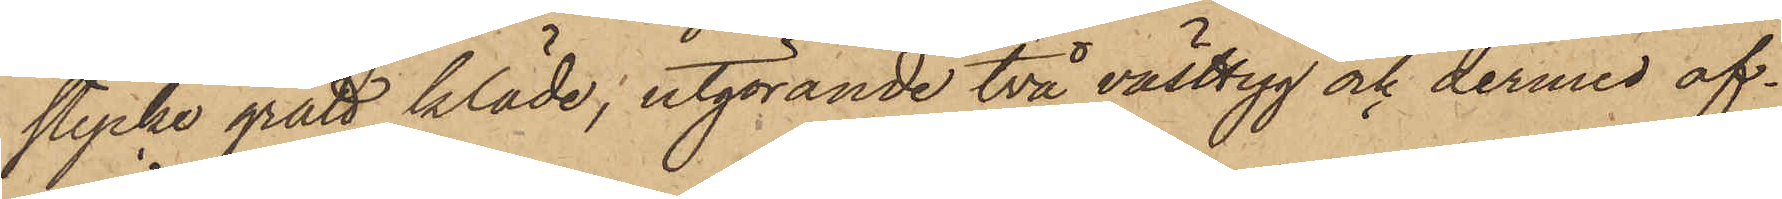stycke grått kläde, utgörande två västtyg och dermed af¬
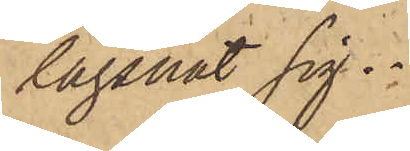lägsnat sig.
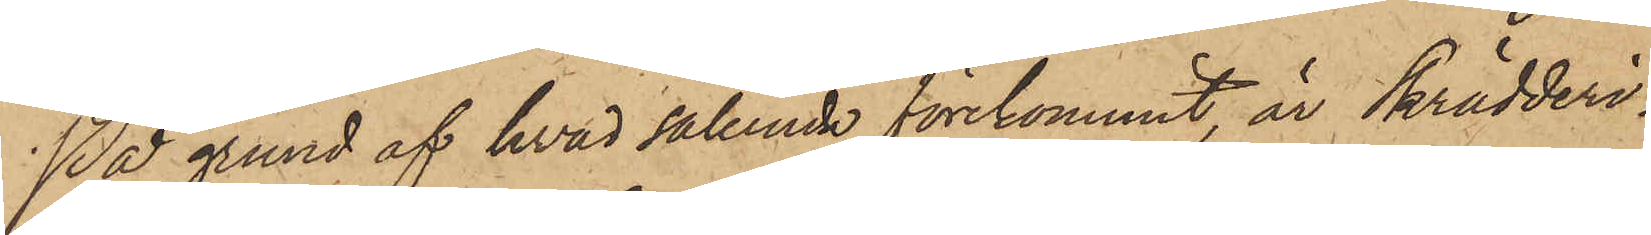På grund af hvad sålunda förekommit, är Skrädderi¬
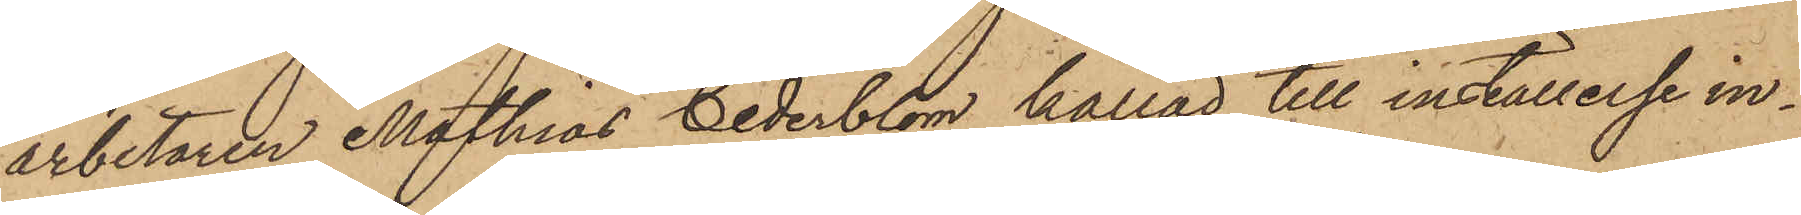arbetaren Mathias Cederblom kallad till inställelse in¬
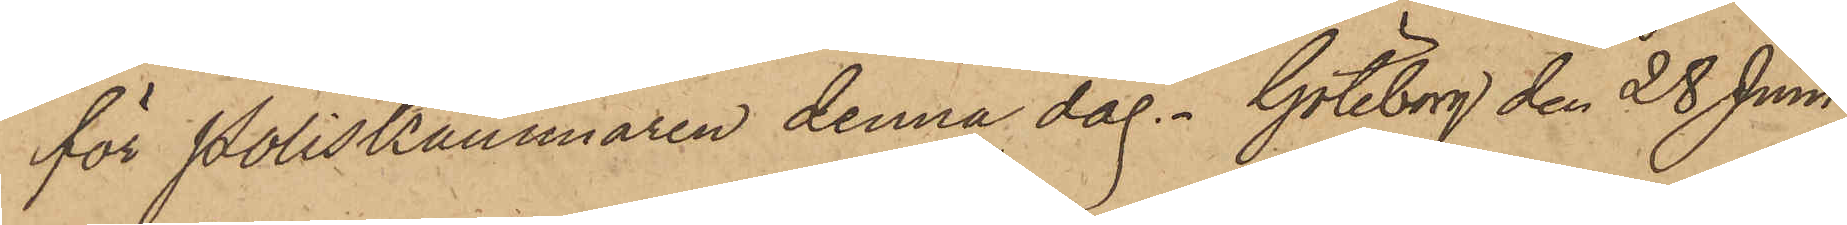för Poliskammaren denna dag. Göteborg den 28 Juni
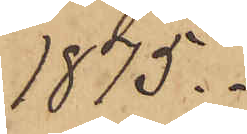1875.
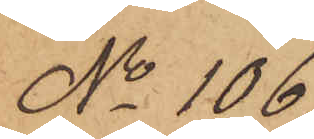No 106.
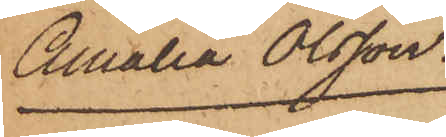Amalia Olsson.
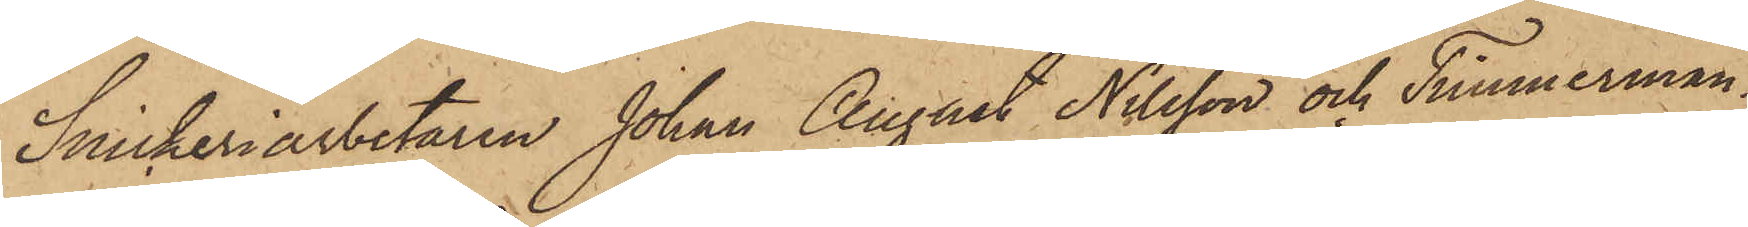Snickeriarbetaren Johan August Nilsson och Timmerman¬
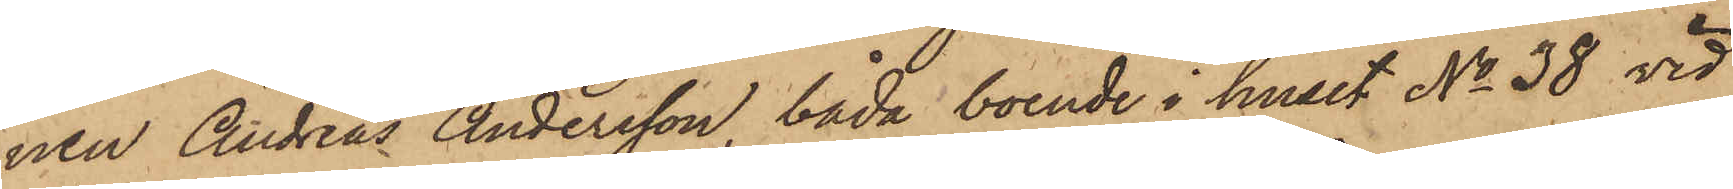nen Andreas Andersson, båda boende i huset No 38 vid
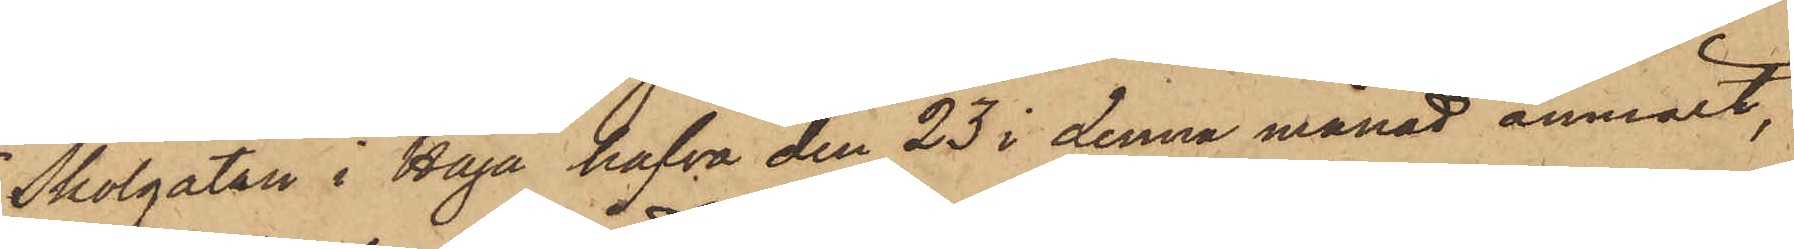Skolgatan i Haga hafva den 23 i denna månad anmält,
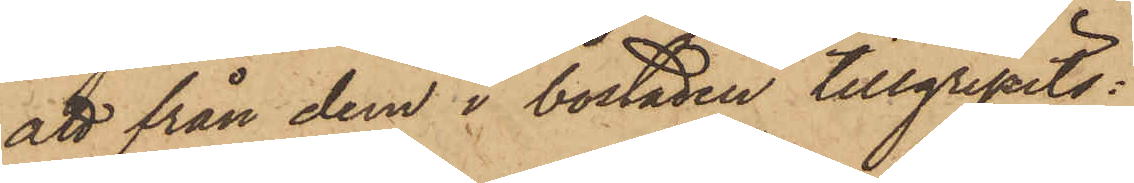att från dem i bostaden tillgripits:
